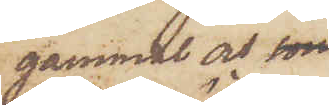gammal och son
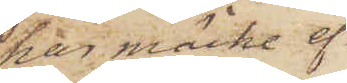har märke ef¬
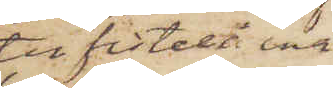ter fistel i ena
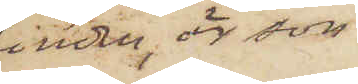kinden, är son
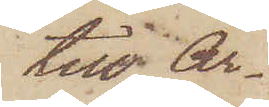till Ar¬
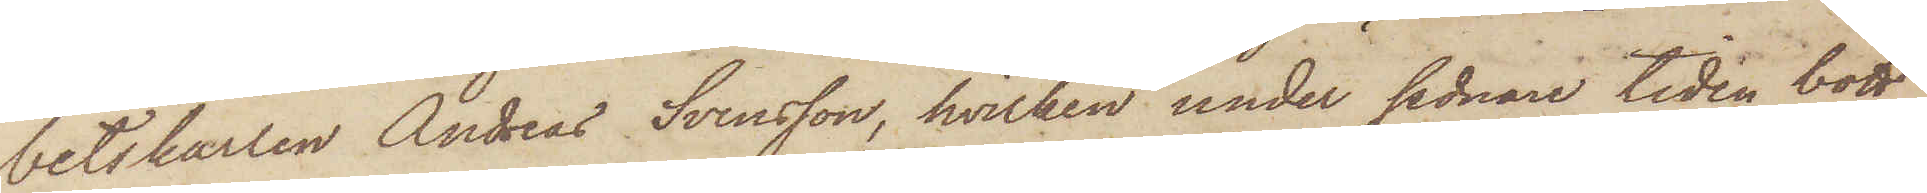betskarlen Andreas Svensson, hvilken under sednare tiden bott
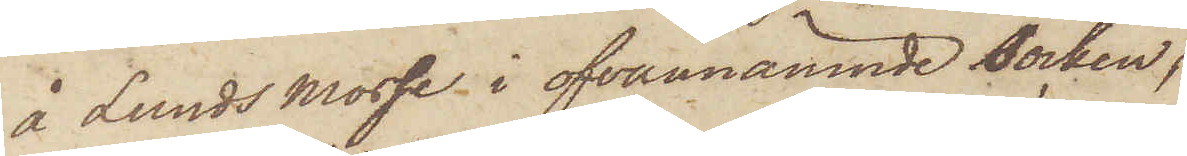å Lunds Mosse i ofvannämnde Socken.
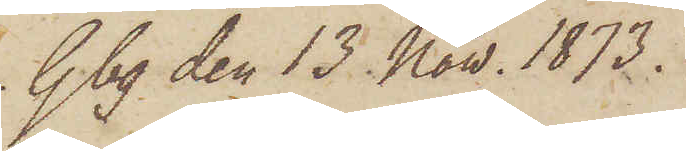Gbg den 13 Now. 1873.
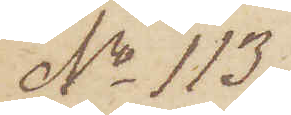No 113.
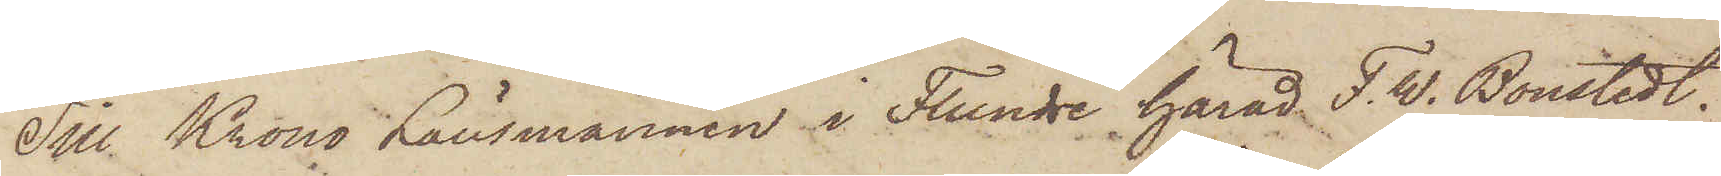Till Krono Länsmannen i Flundre härad F. W. Boustedt,
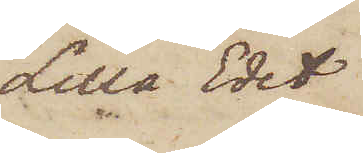Lilla Edet
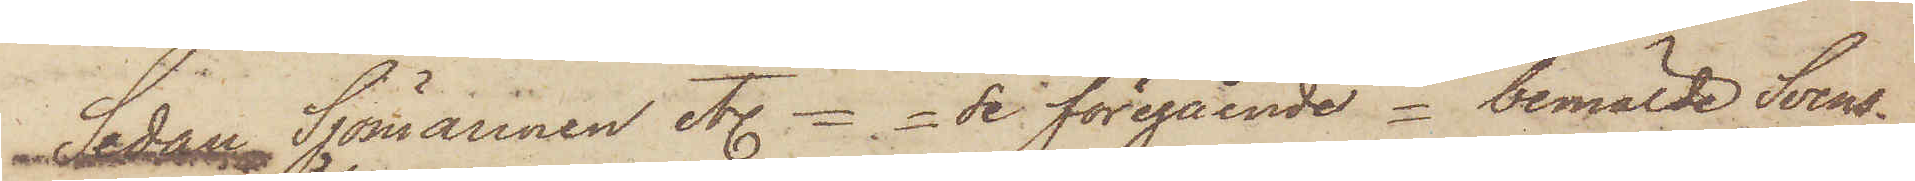Sedan Sjömannen etc == se föregående == bemälde Svens¬
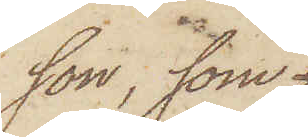son, som
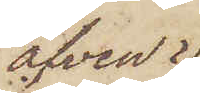äfven
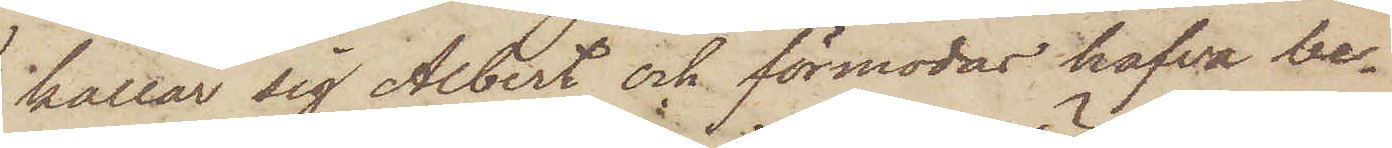kallar sig Albert och förmodas hafva be¬
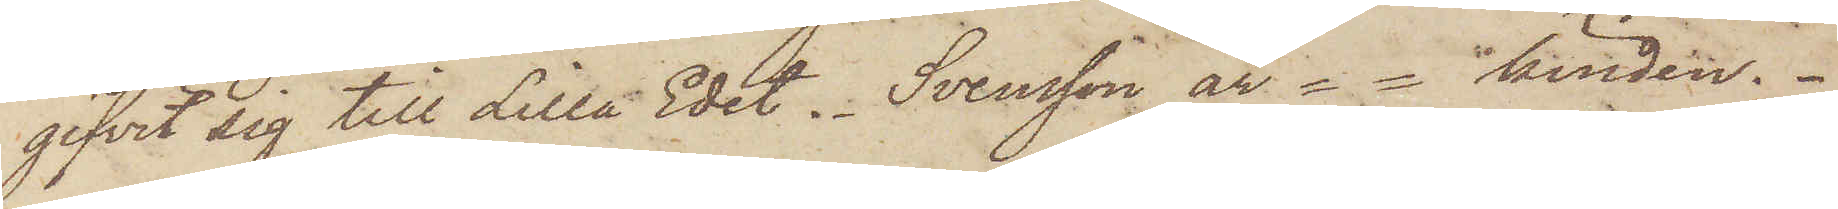gifvit sig till Lilla Edet. - Svensson är  == kinden.
